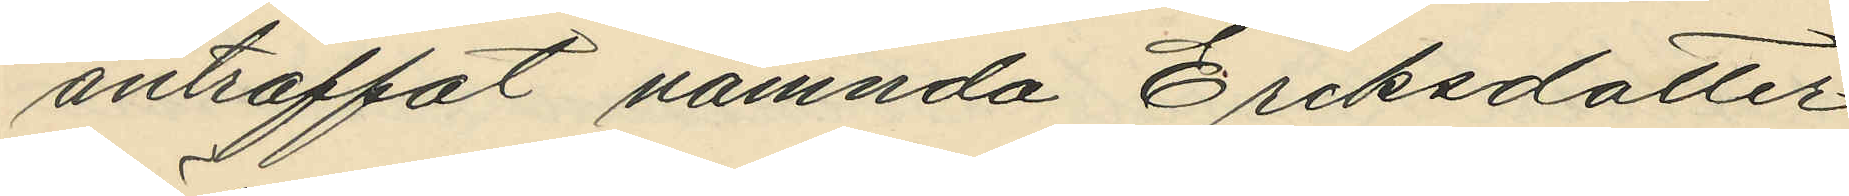anträffat nämnda Eriksdotter
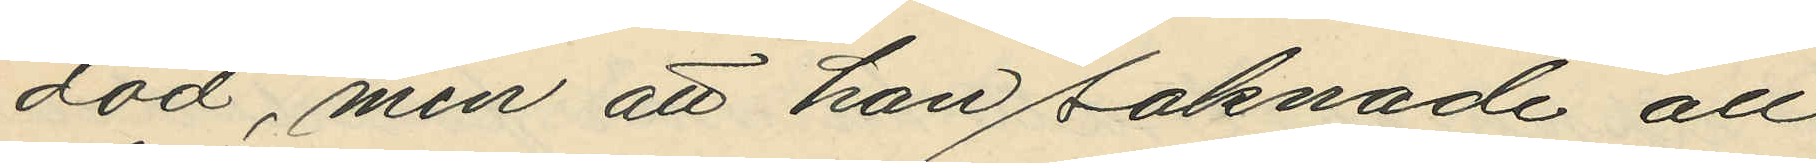död, men att han saknade all
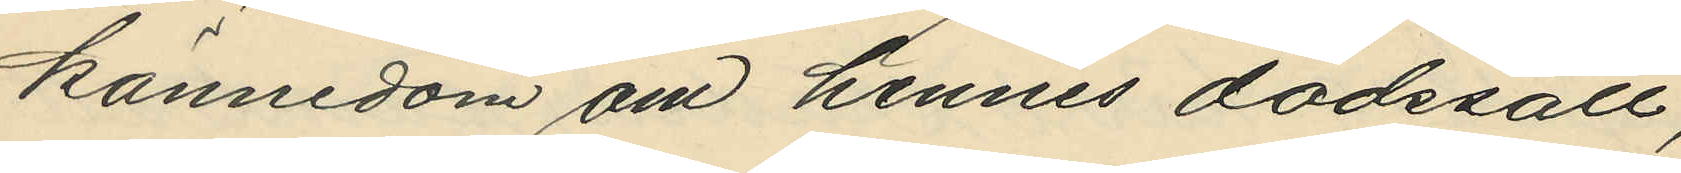kännedom om hennes dödssätt;
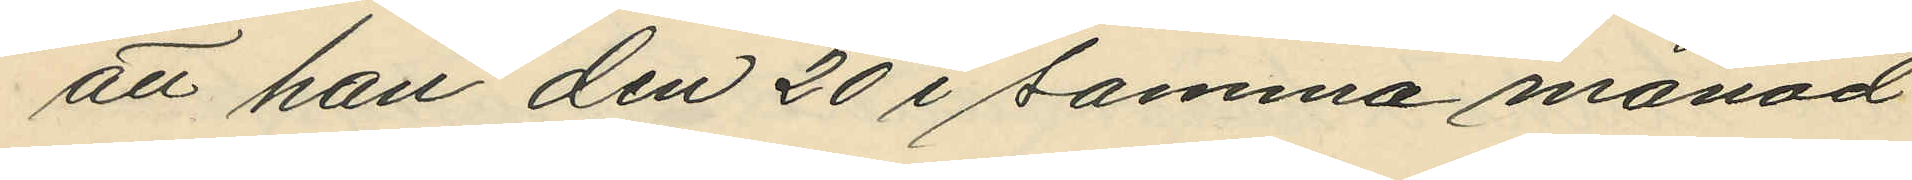att han den 20 i samma månad
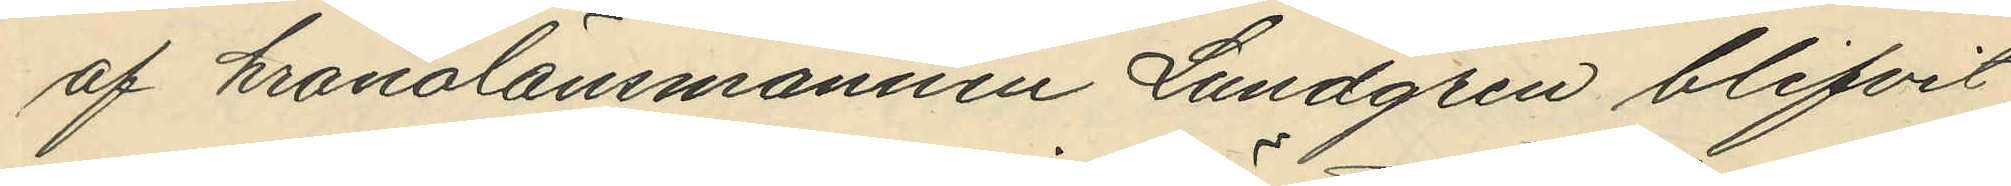af kronolänsmannen Lundgren blifvit
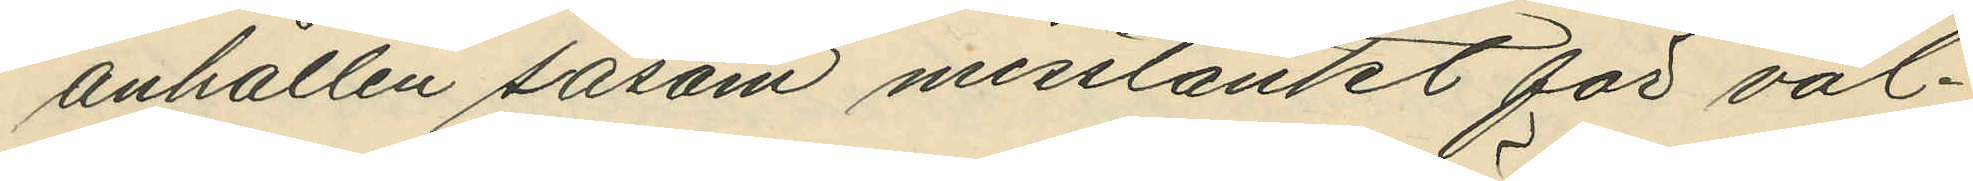anhållen såsom misstänkt för vål¬
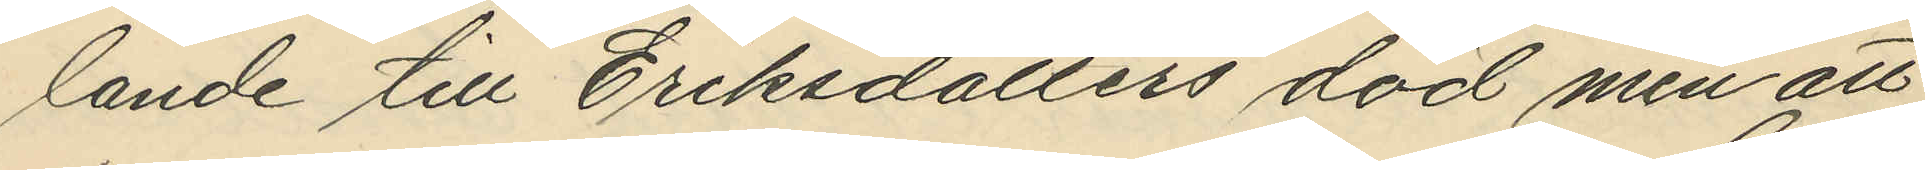lande till Eriksdotters död men att
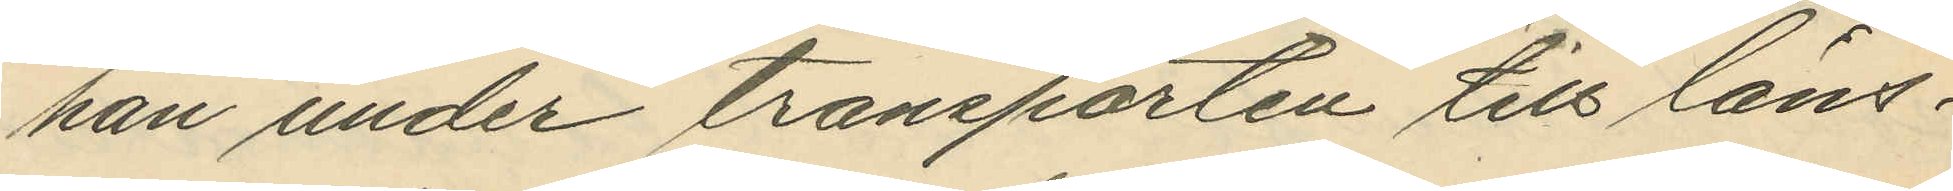han under transporten till läns¬
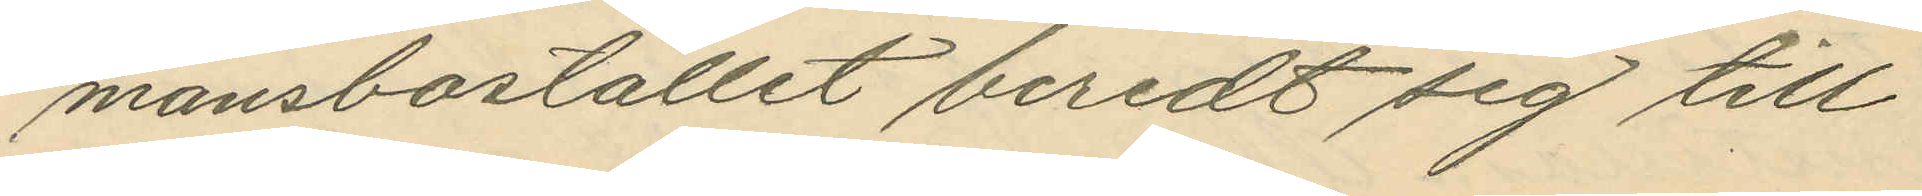mansbostället beredt sig till¬
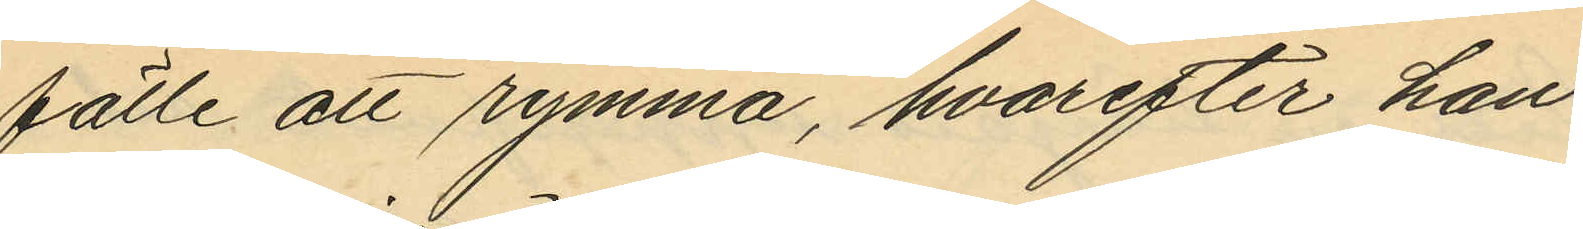fälle att rymma, hvarefter han
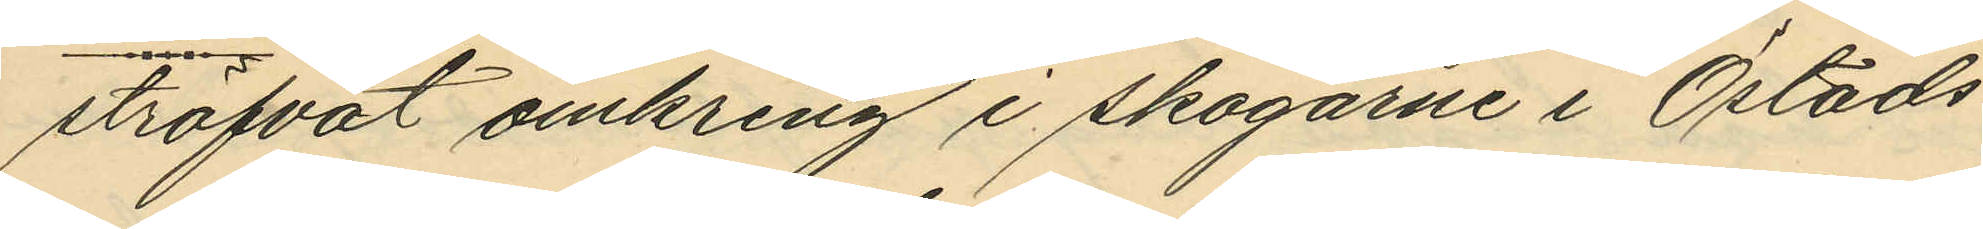ströfvat omkring i skogarne i Östads
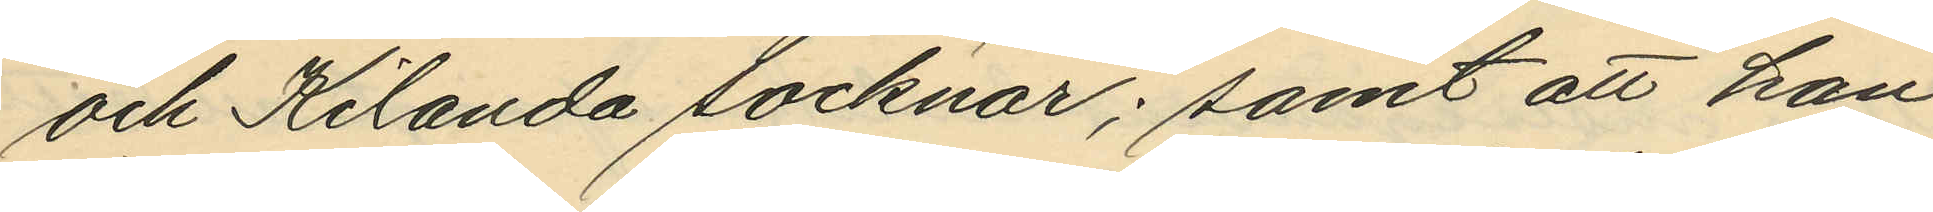och Kilanda socknar; samt att han
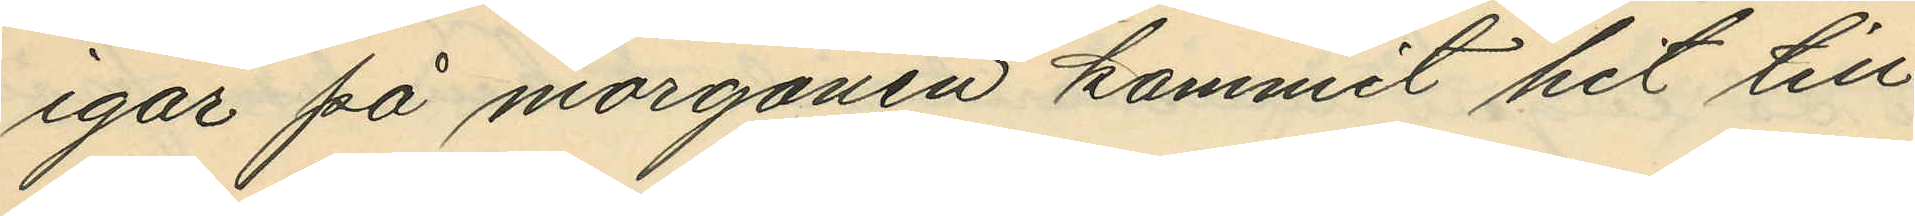igår på morgonen kommit hit till
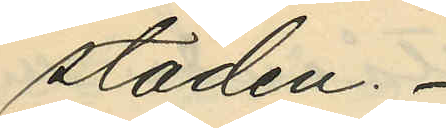staden.
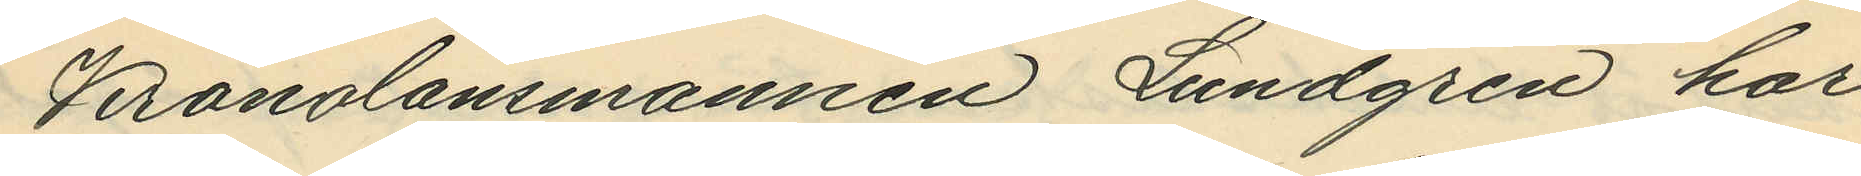Kronolänsmannen Lundgren har
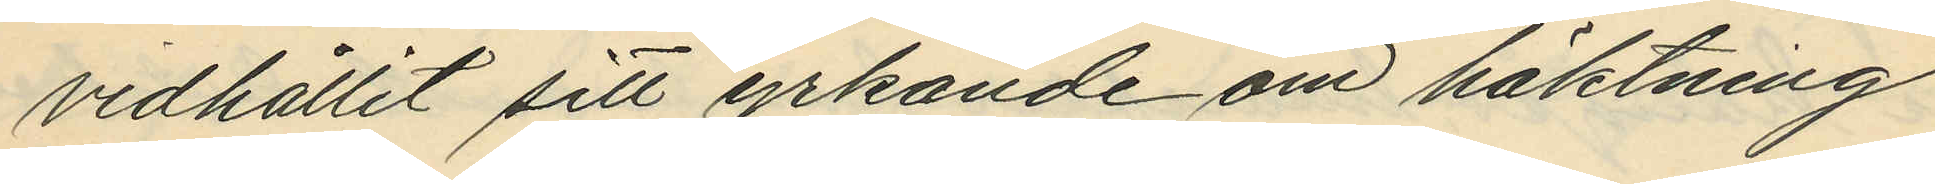vidhållit sitt yrkande om häktning
